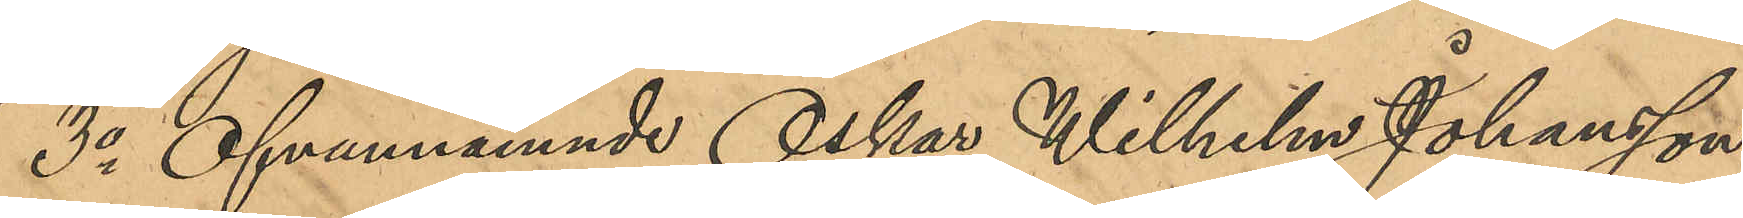3o Ofvannämnde Oskar Wilhelm Johansson,
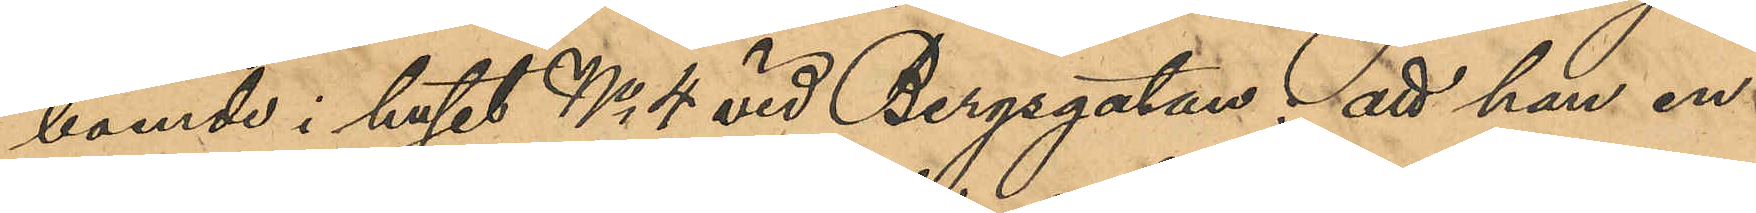boende i huset No 4 vid Bergsgatan: att han en
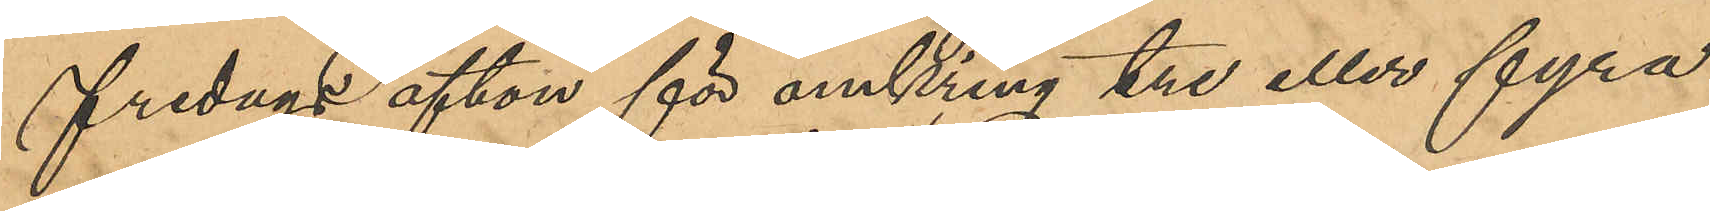fredags afton för omkring tre eller fyra
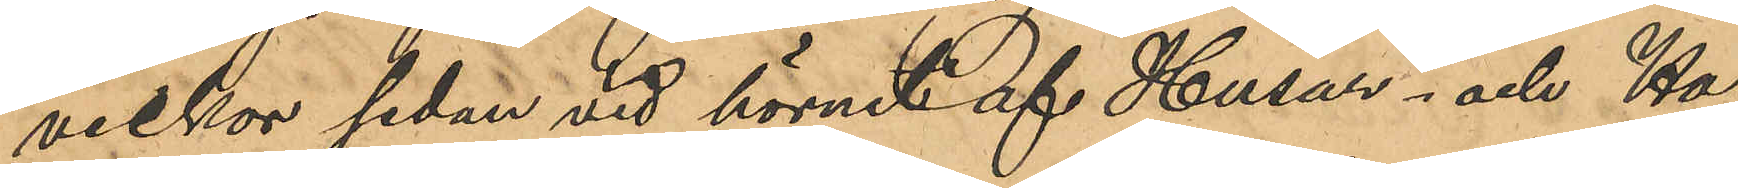veckor sedan vid hörnet af Husar- och Ha¬
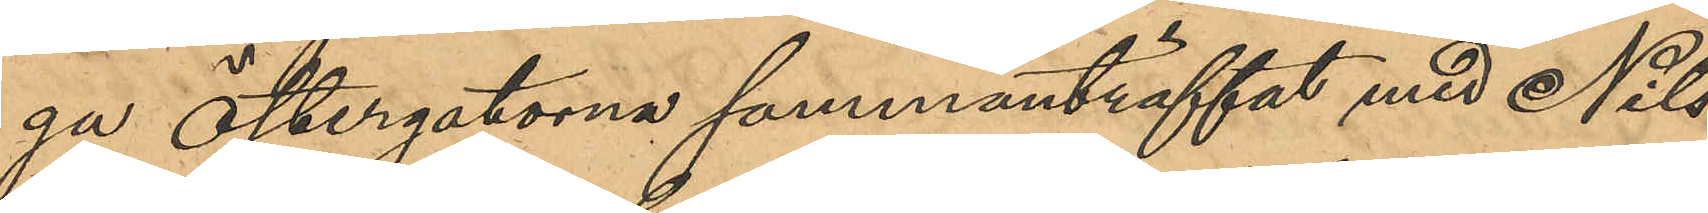ga Östergatorna sammanträffat med Nils
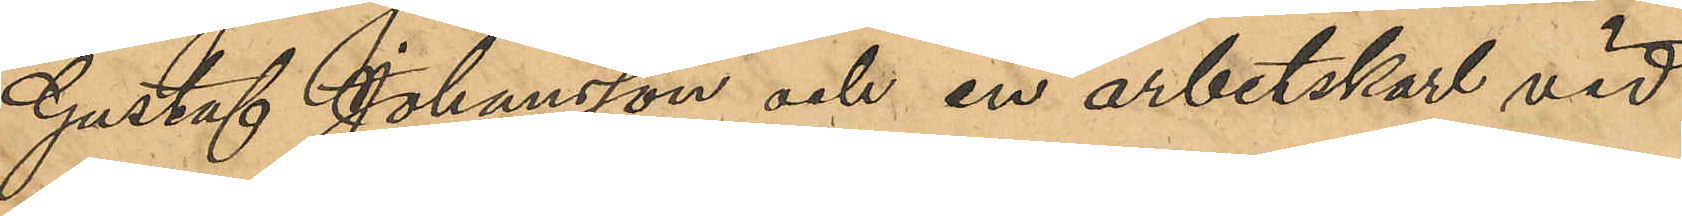Gustaf Johansson och en arbetskarl vid
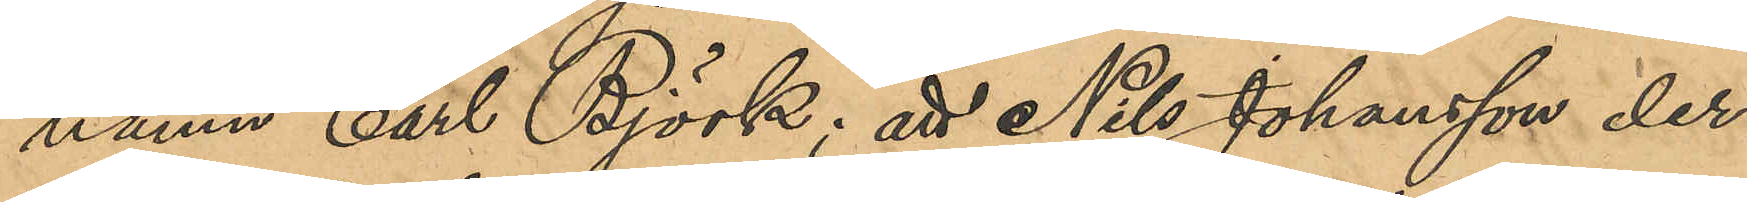namn Carl Björk; att Nils Johansson der¬
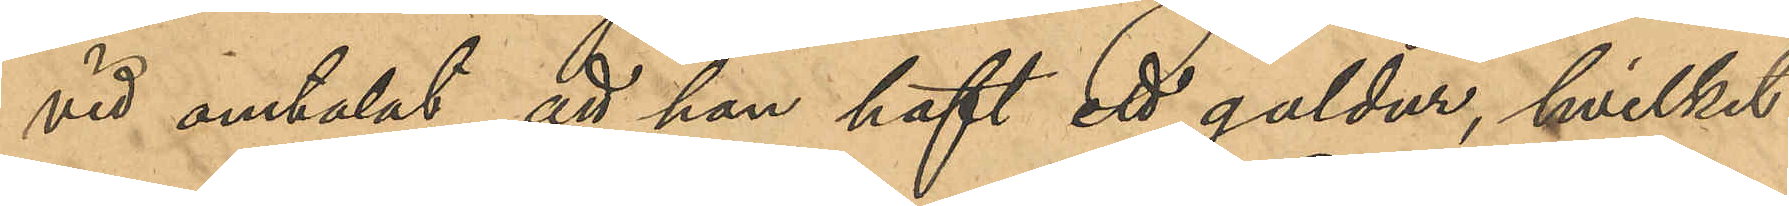vid omtalat att han haft ett guldur, hvilket
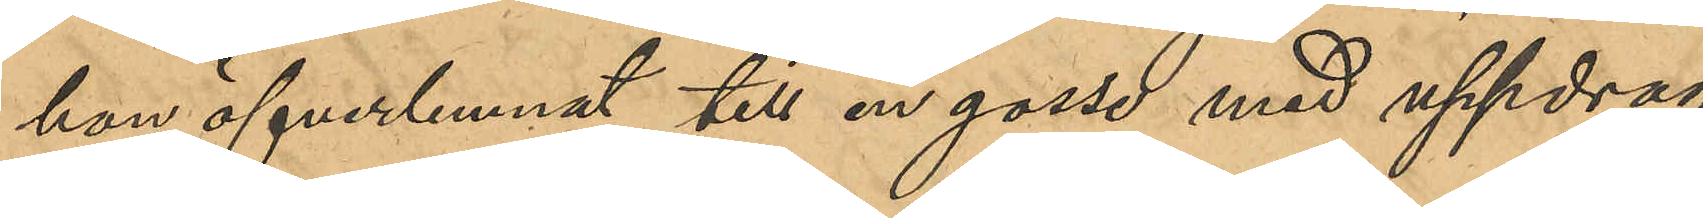han öfverlemnat till en gosse med uppdrag
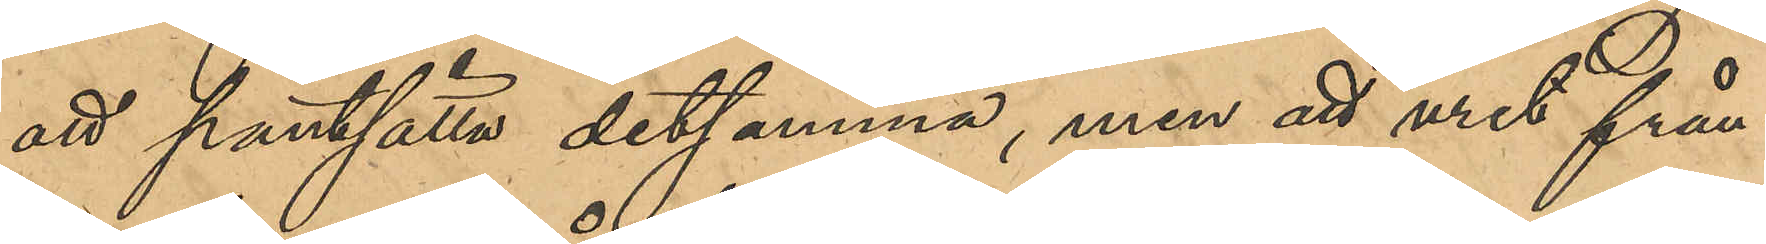att pantsätta detsamma, men att uret från¬
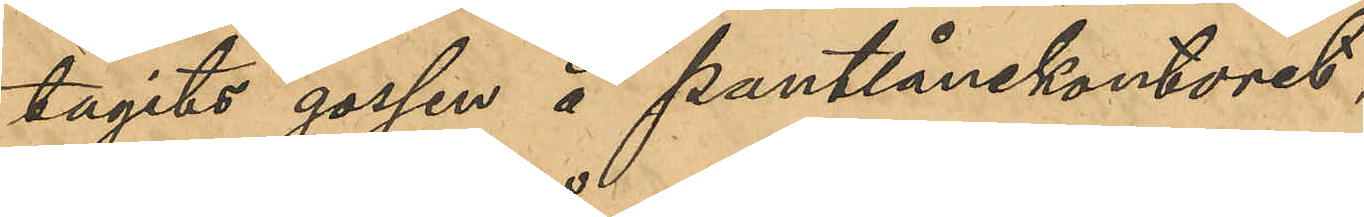tagits gossen å pantlånekontoret.
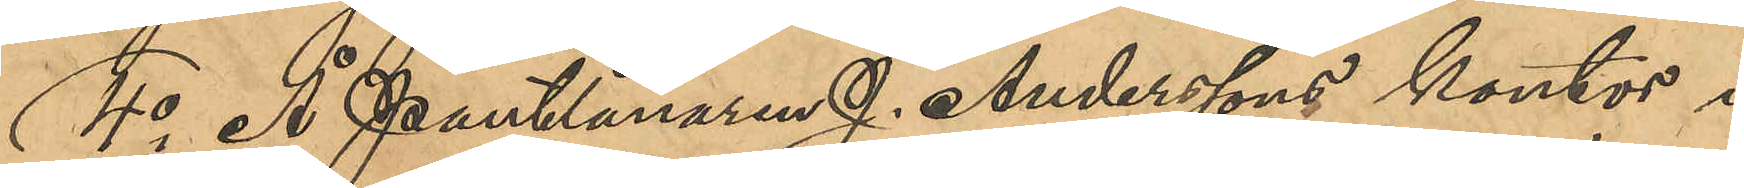4o Å Pantlånaren J. Anderssons kontor i
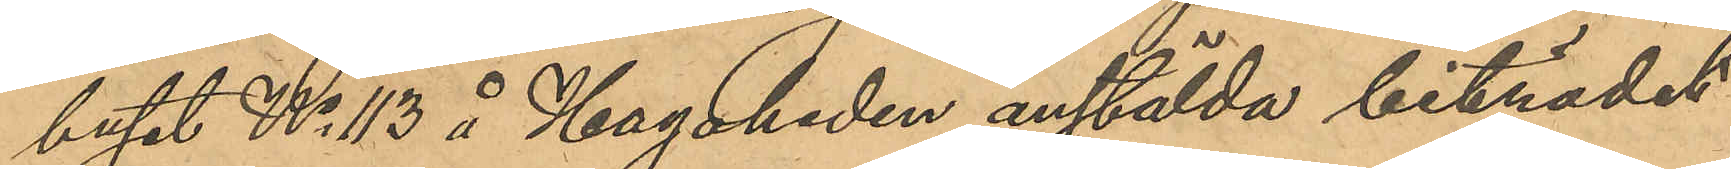huset No 113 å Hagaheden anstälda biträdet
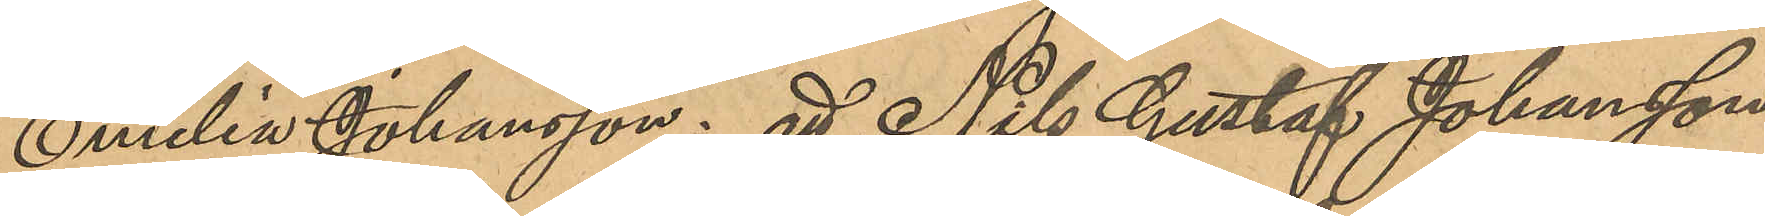Emilia Johansson: att Nils Gustaf Johansson
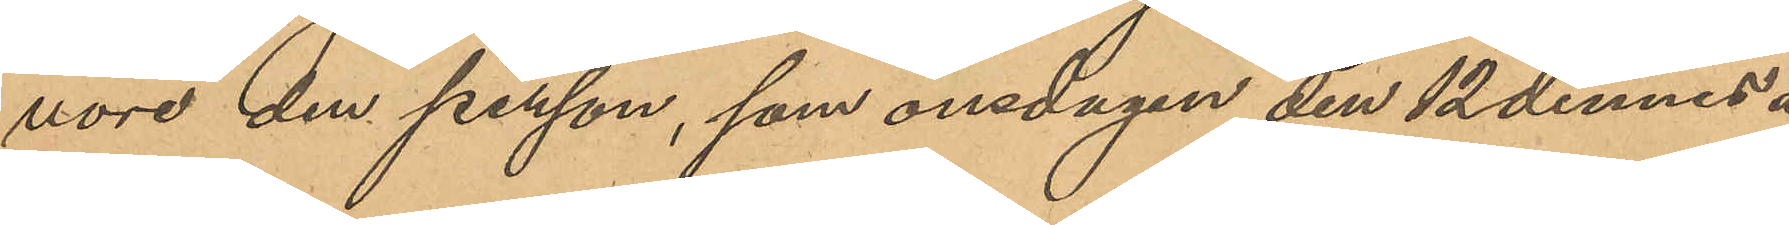vore den person, som onsdagen den 12 dennes å
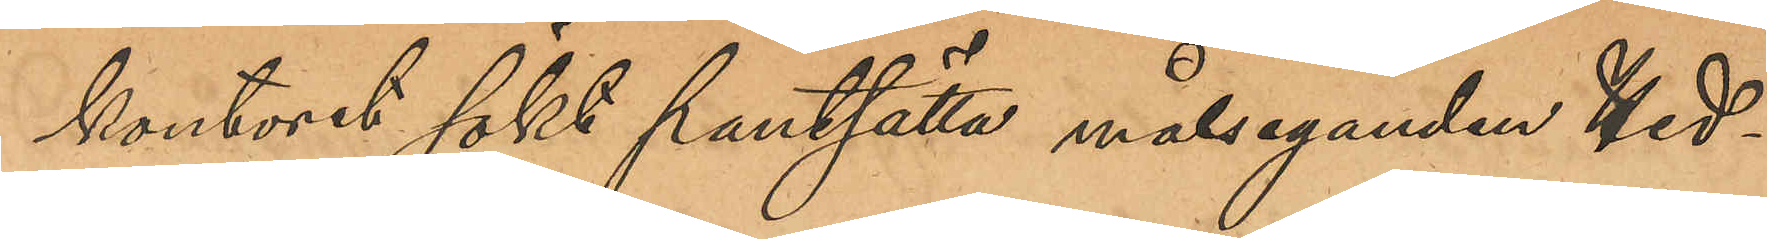kontoret sökt pantsätta målseganden Hed¬
